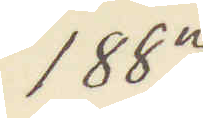1887
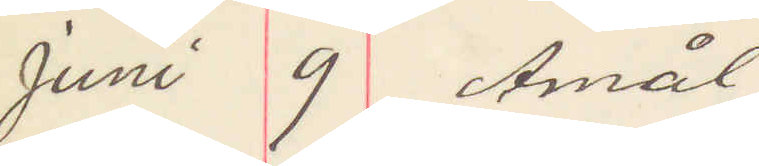Juni 9 Åmål
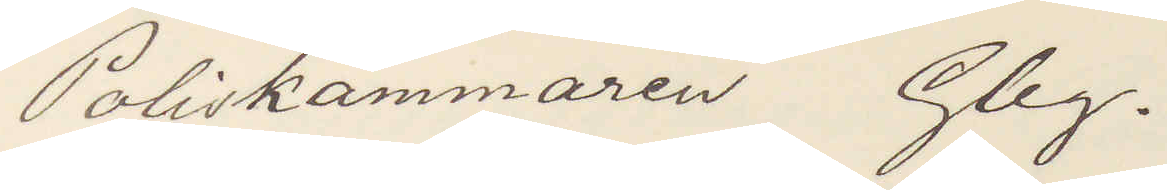Poliskammaren Gbg.
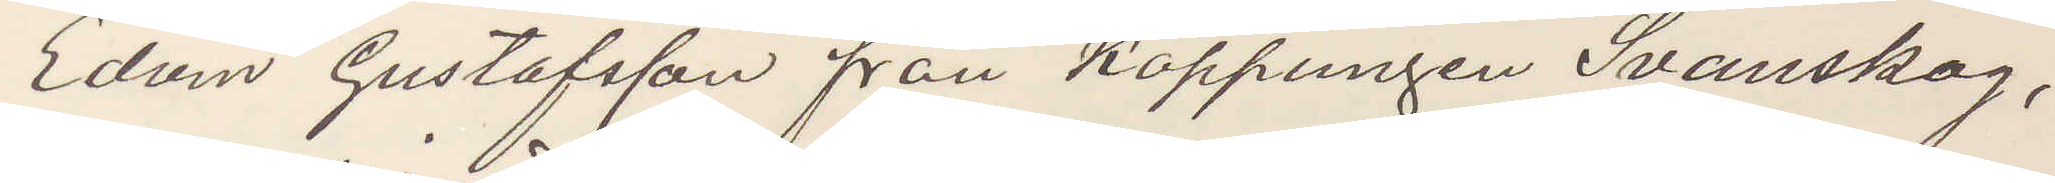Edvin Gustafsson från Koppungen Svanskog,
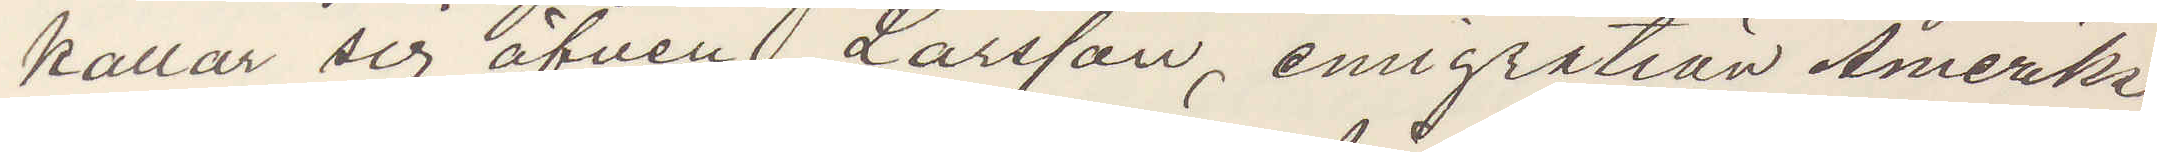kallar sig äfven Larsson, emigration Amerika
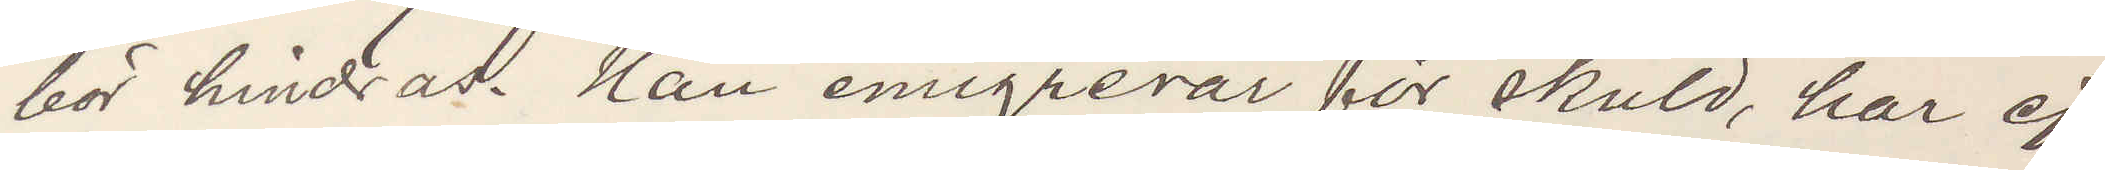bör hindras. Han emigrerar för skuld, har ej
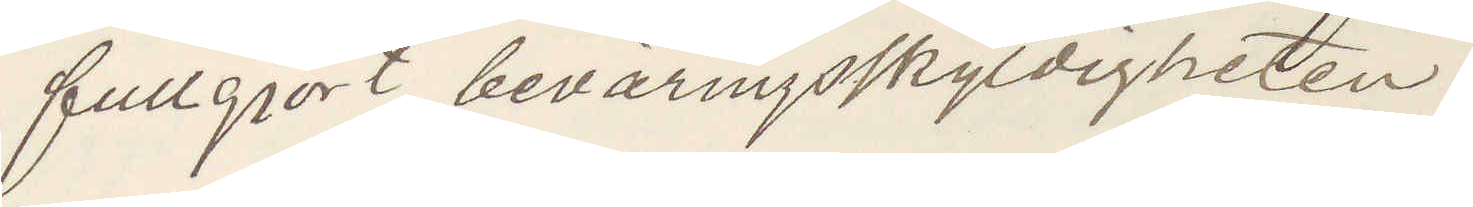fullgjort beväringsskyldigheten.
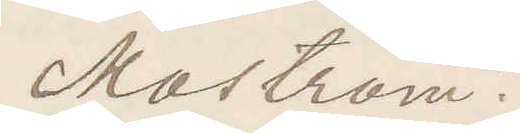Moström.
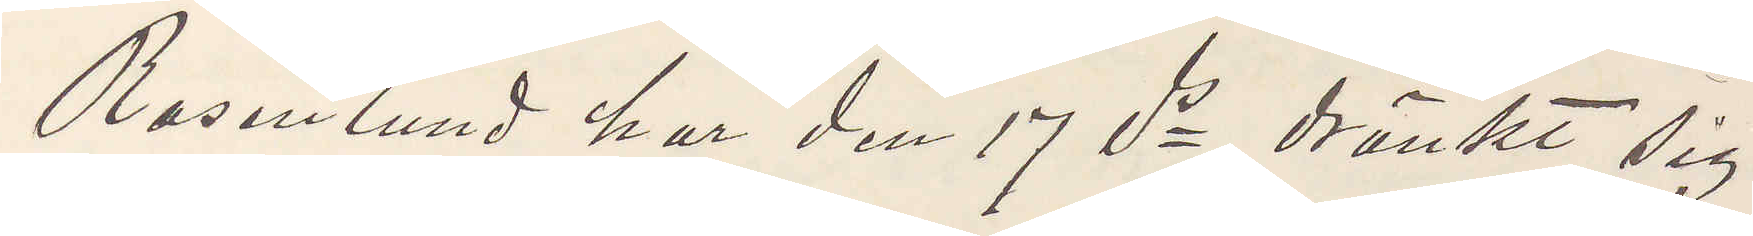Rosenlund har den 17 ds dränkt sig
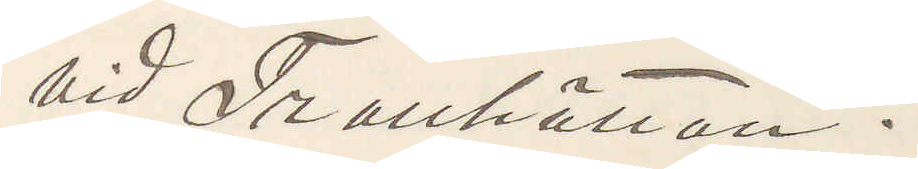vid Trollhättan.
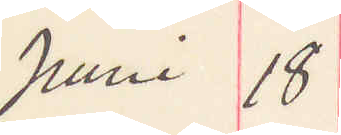Juni 18
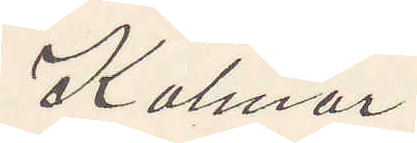Kalmar
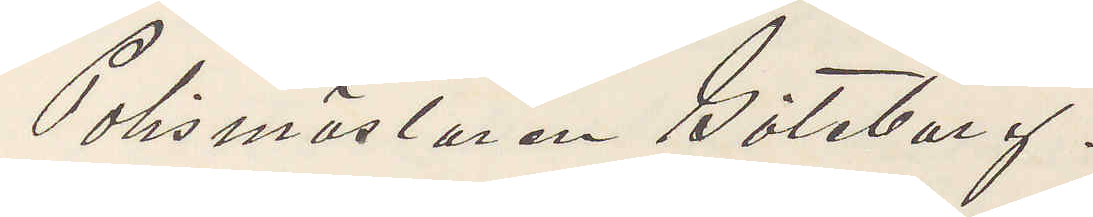Polismästaren Göteborg.
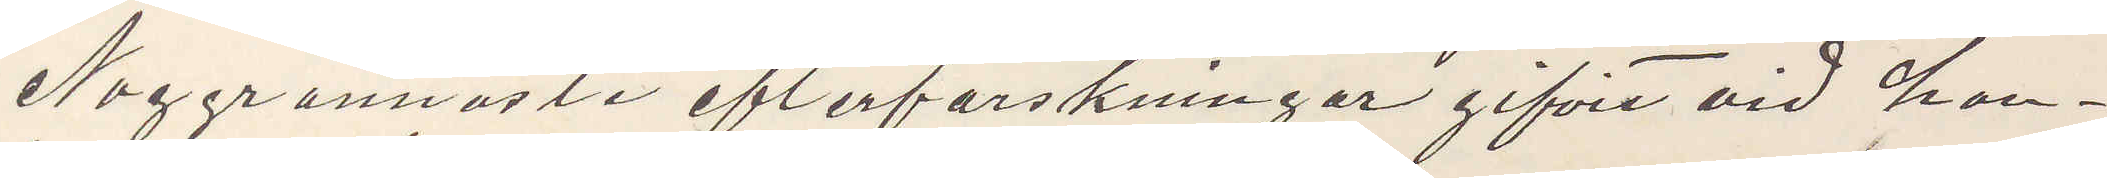Noggrannaste efterforskningar gifvit vid han¬
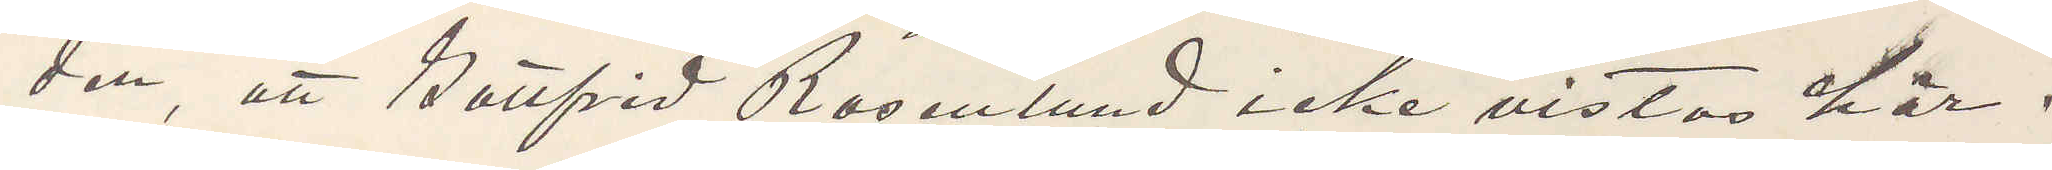den, att Gottfrid Rosenlund icke vistas här.
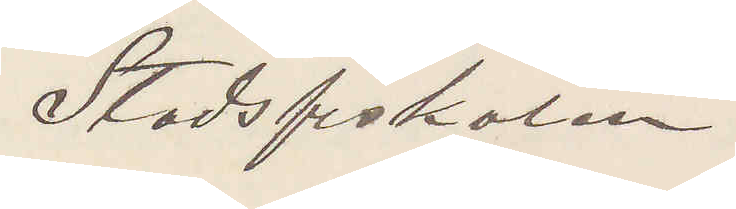Stadsfiskalen
